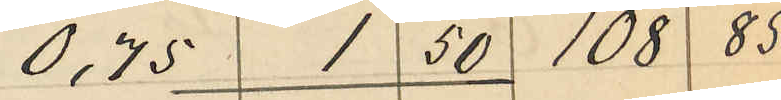0,75 1 50 108 85
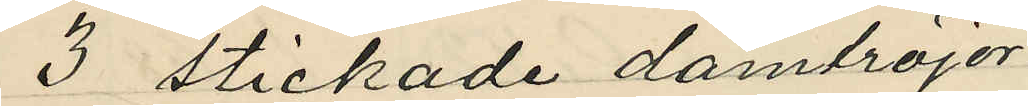3 stickade damtröjor
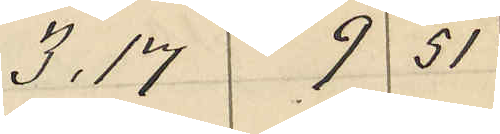3,17 9 51
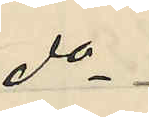do
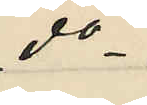do
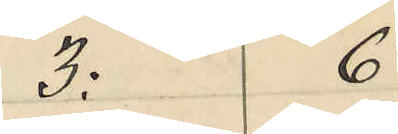3: 6
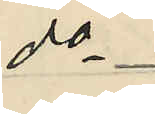do
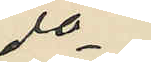do
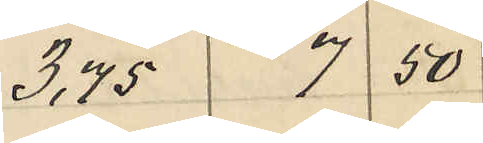3,75 7 50
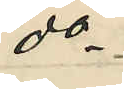do
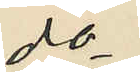do
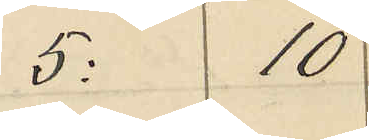5: 10
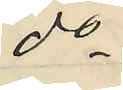do
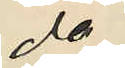do
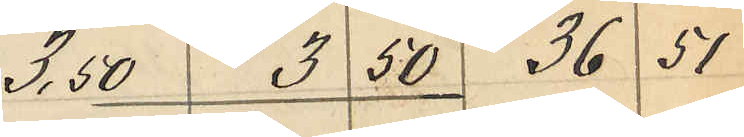3,50 3 50 36 51
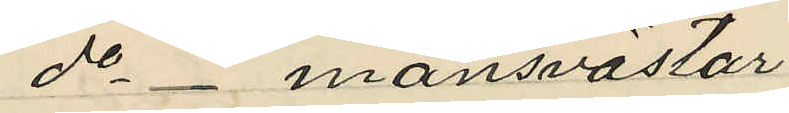do _ mansvästar
